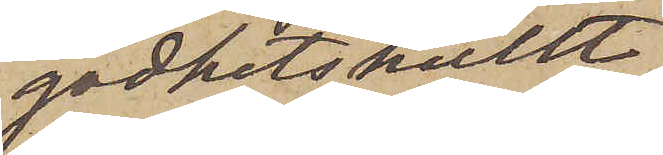godhetskullt
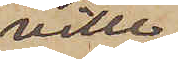ville
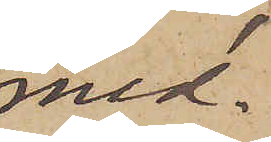med¬
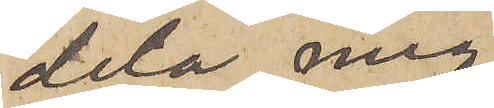dela med
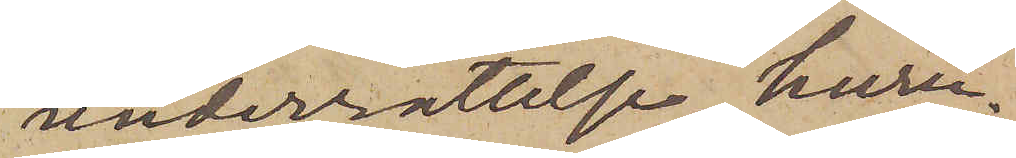underrättelse, huru¬
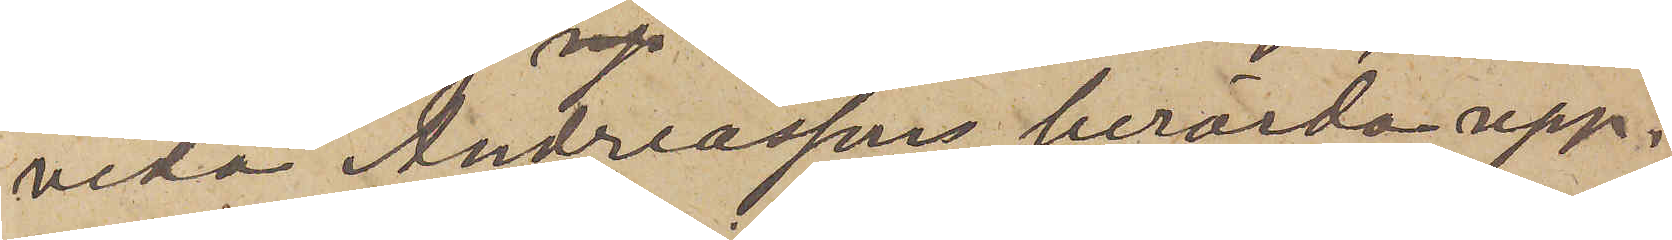vida Andreassons berörda upp¬
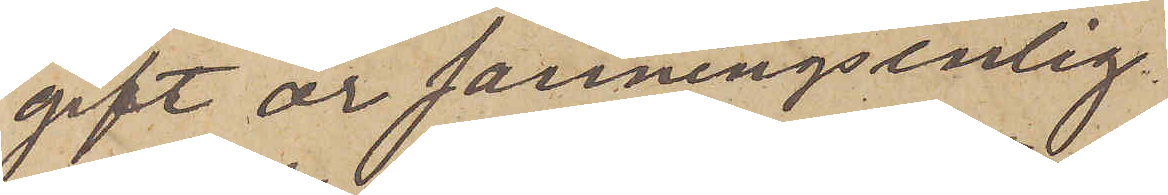gift är sanningsenlig.
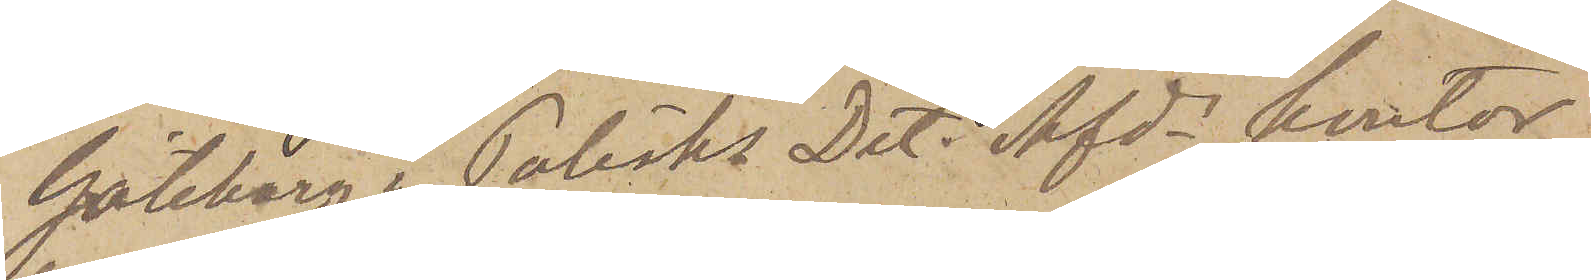Göteborg i Polisks Det. Afds kontor
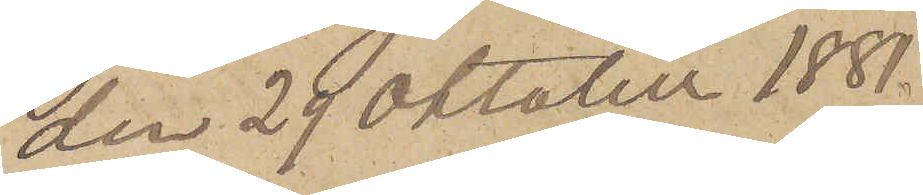den 29 Oktober 1881.
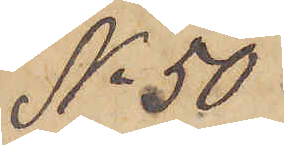No 50
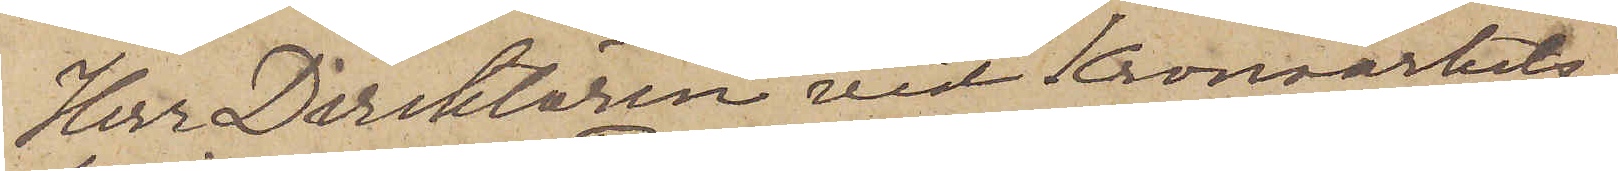Herr Direktören vid Kronoarbets¬
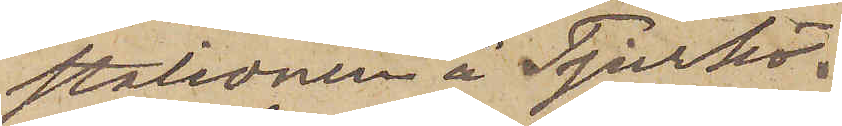stationen å Tjurkö.
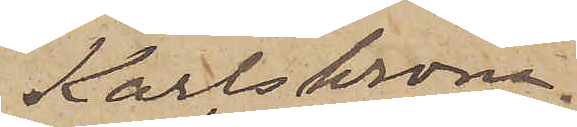Karlskrona.
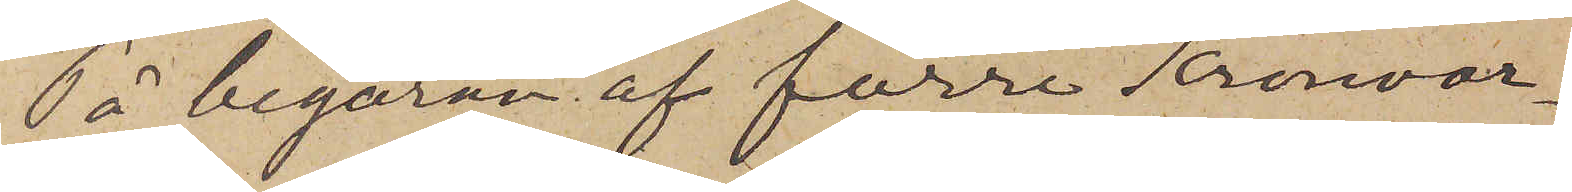På begäran af förre Kronoar¬
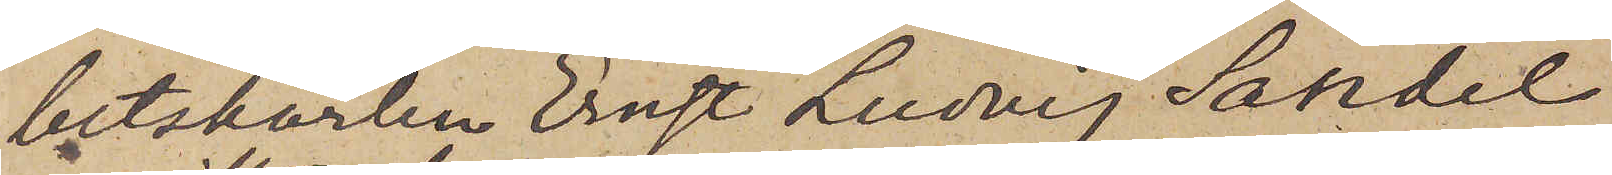betskarlen Ernst Ludvig Sandel,
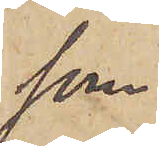som
